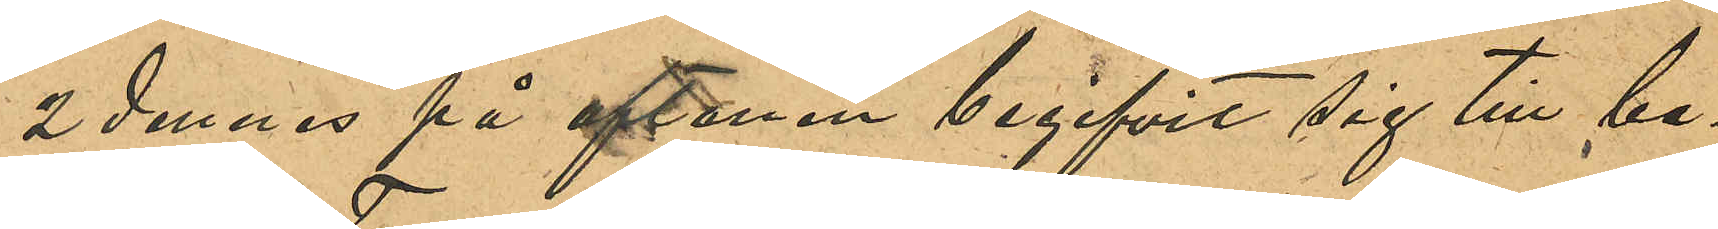2 dennes på aftonen begifvit sig till be¬
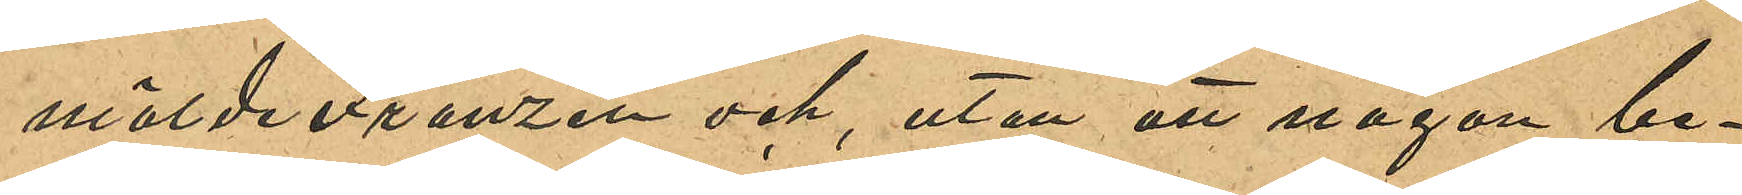målde Franzén och utan att någon be¬
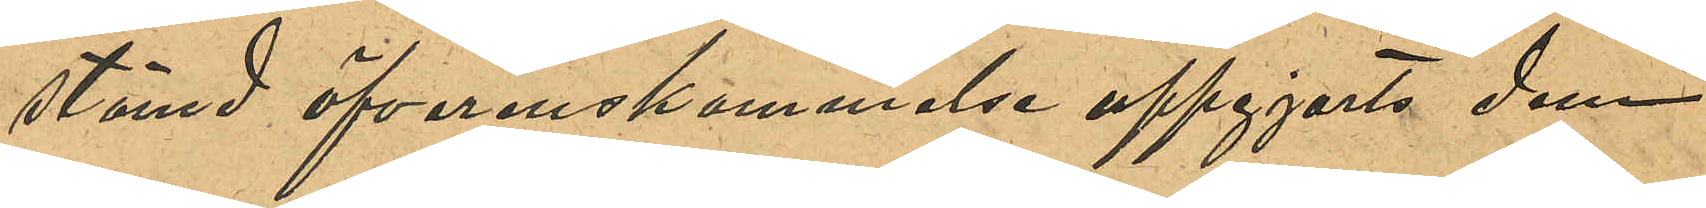stämd öfverenskommelse uppgjorts dem
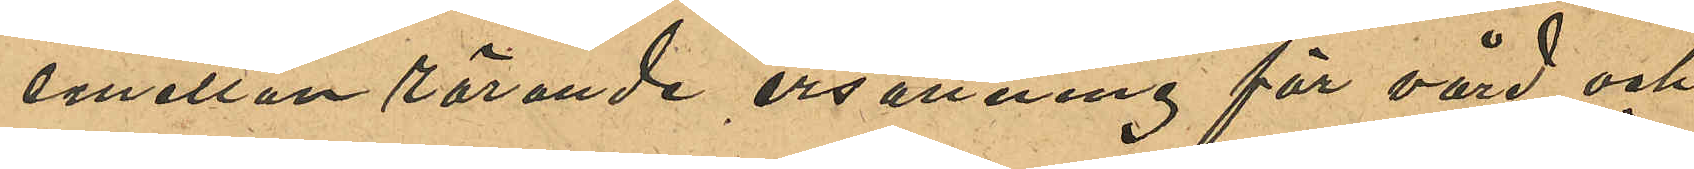emellan rörande ersättning för vård och
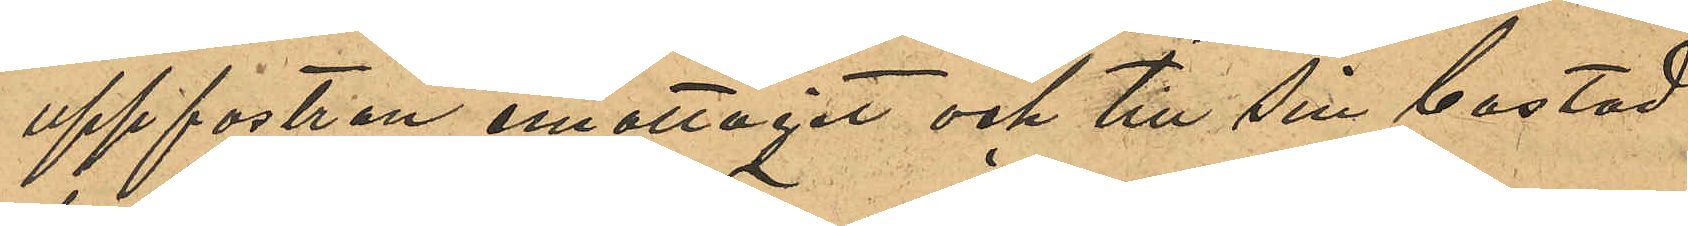uppfostran emottagit och till sin bostad
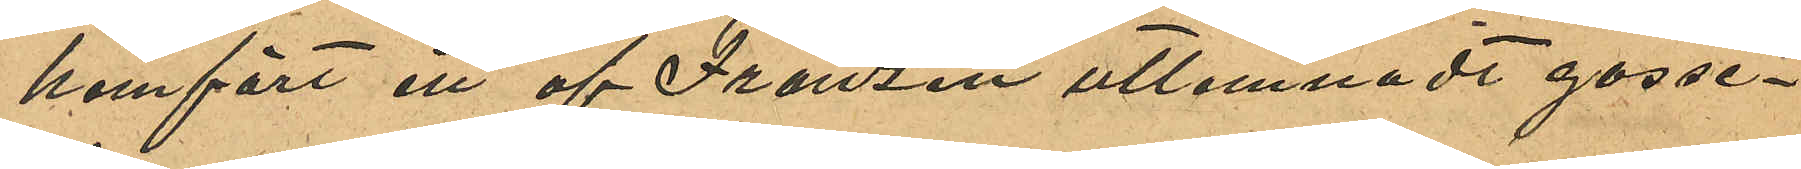hemfördt ett af Franzén utlemnadt gosse¬
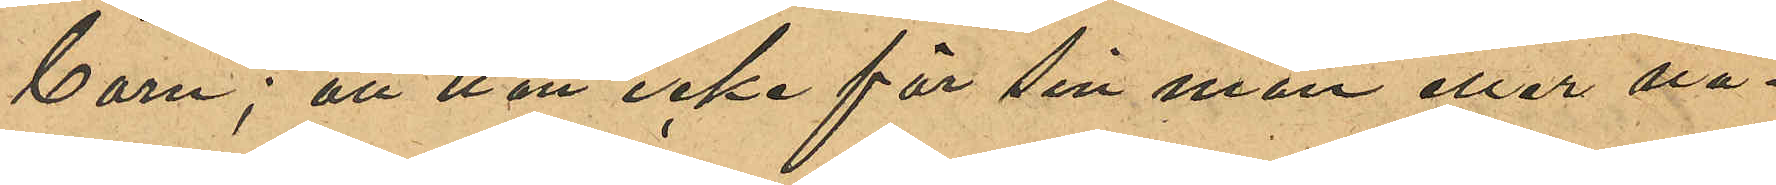barn; att hon icke för sin man eller nå¬
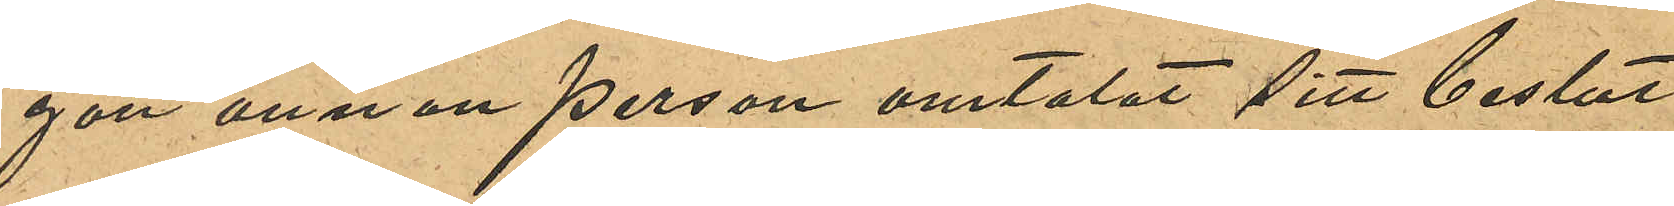gon annan person omtalat sitt beslut
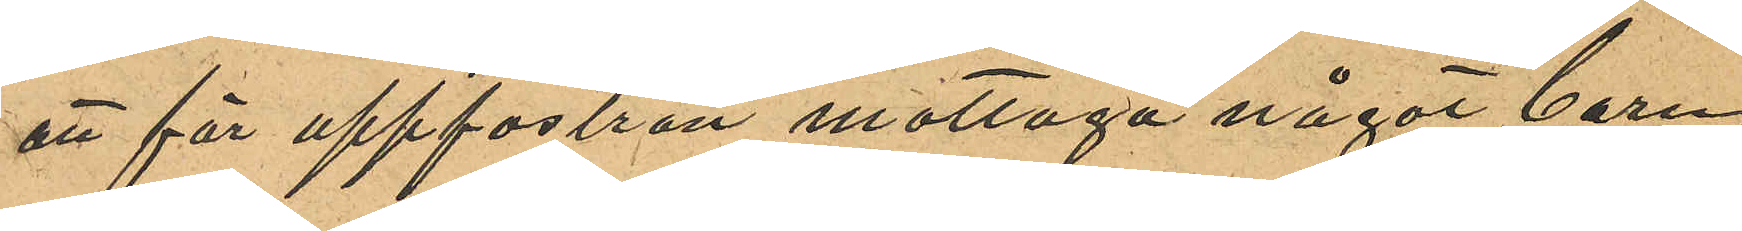att för uppfostran mottaga något barn;
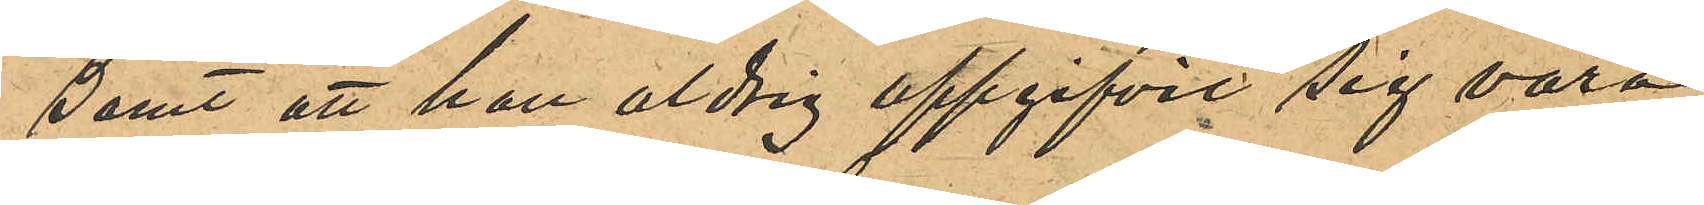samt att hon aldrig uppgifvit sig vara
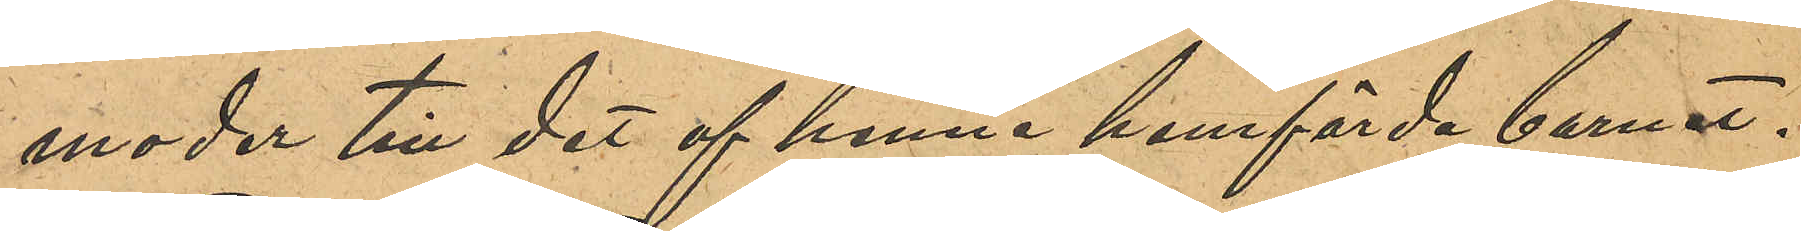moder till det af henne hemförda barnet.
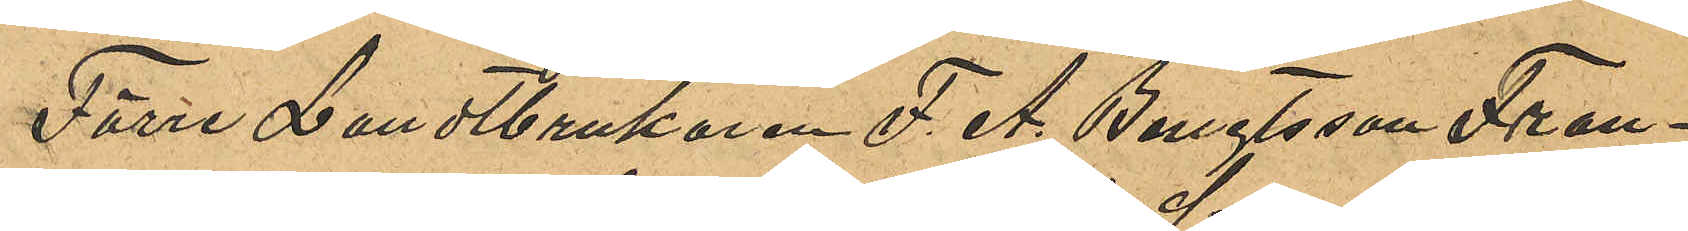Förre Landtbrukaren F. A. Bengtsson Fran¬
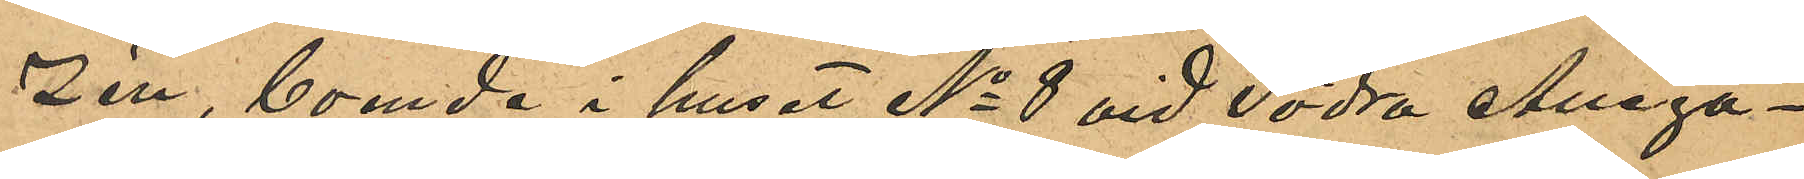zén, boende i huset No 8 vid Södra Alléga¬
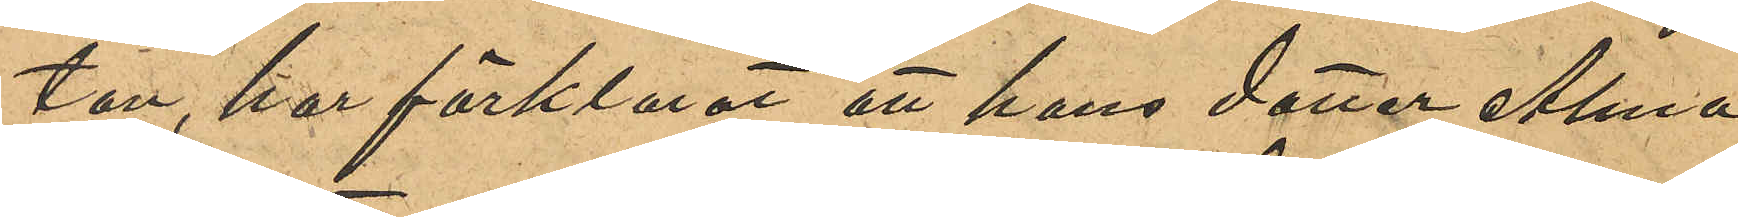tan, har förklarat att hans dotter Alma
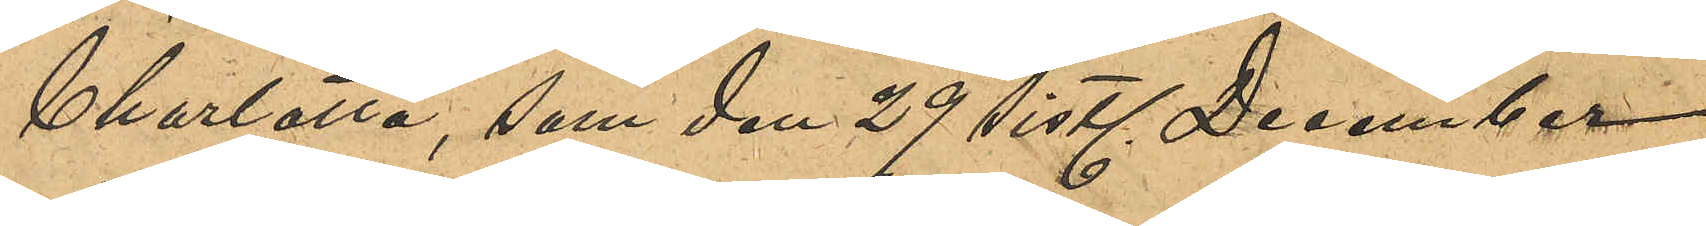Charlotta, som den 29 sist. December
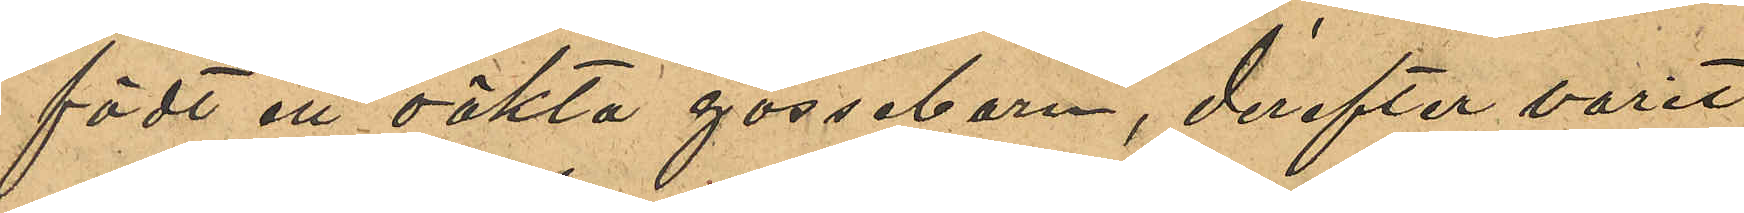födt ett oäkta gossebarn, derefter varit
